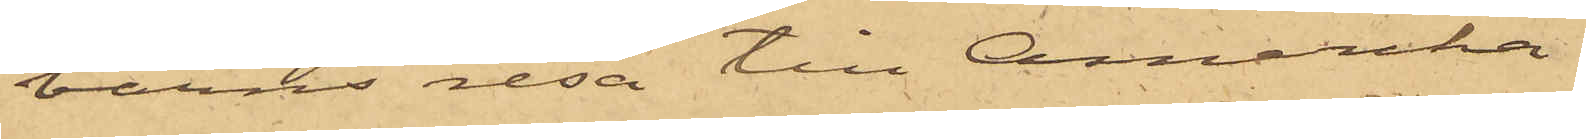barns resa till Amerika.
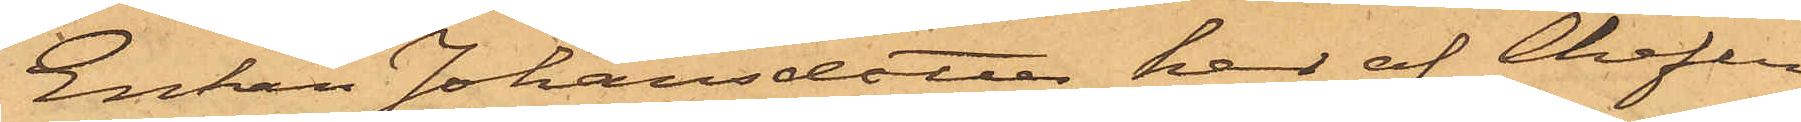Enkan Johansdotter har af Chefen
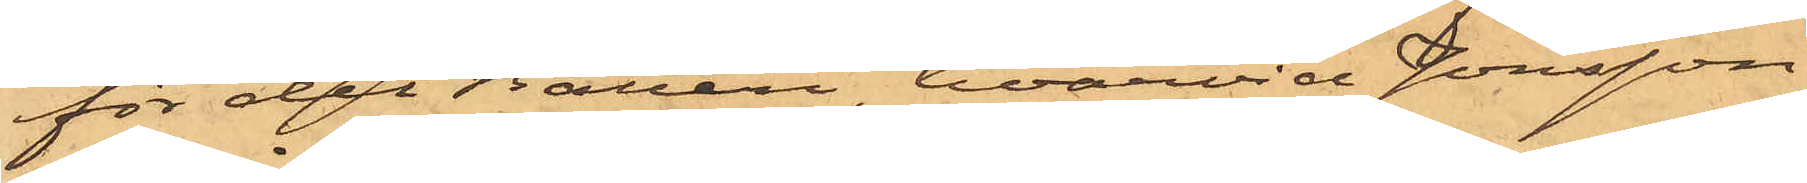för det Batteri, hvarvid Jonsson
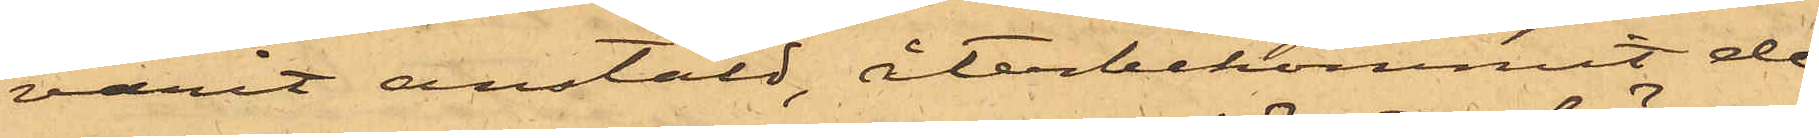varit anstäld, återbekommit de
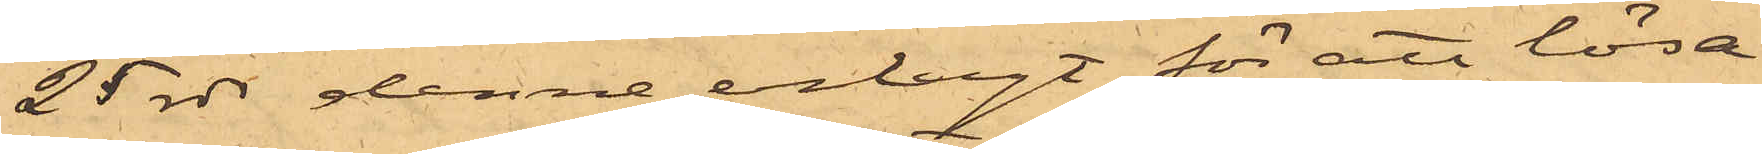25 rdr denne erlagt för att lösa
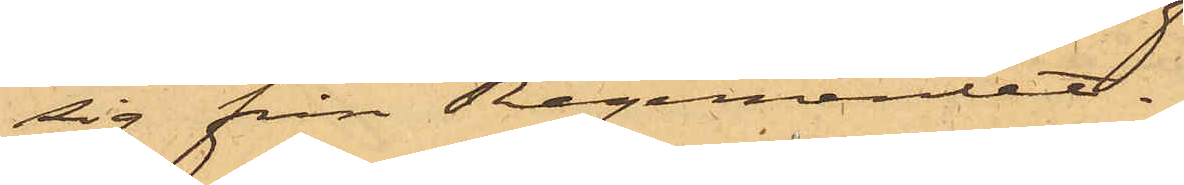sig från Regementet.
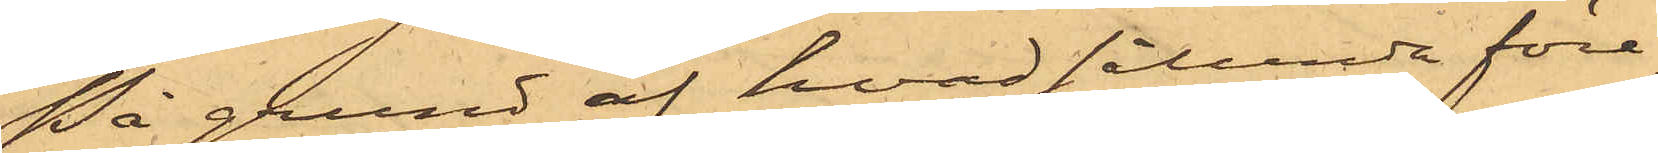På grund af hvad sålunda före¬
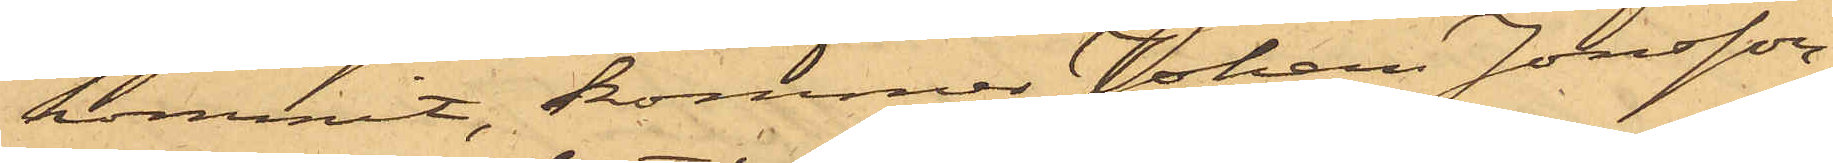kommit, kommer Johan Jonsson,
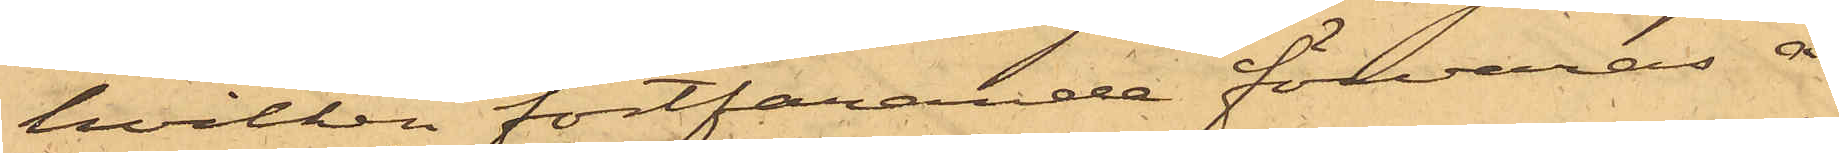hvilken fortfarande förvaras å
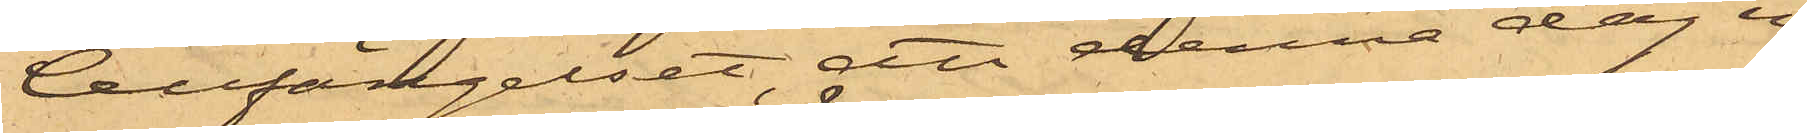Cellfängelset, att denna dag in¬
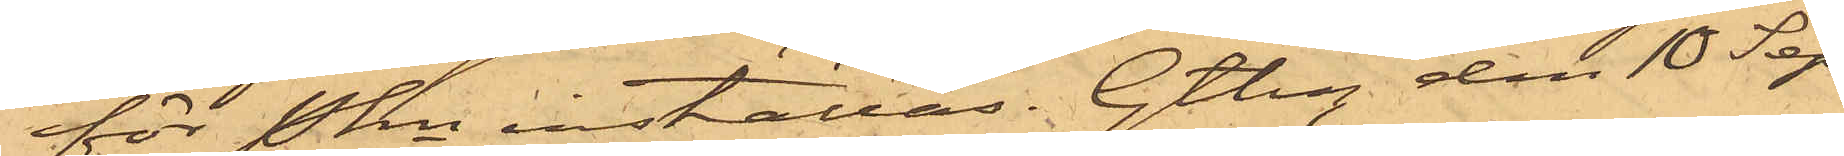för Pkn inställas. Gtbg den 18 Sep¬
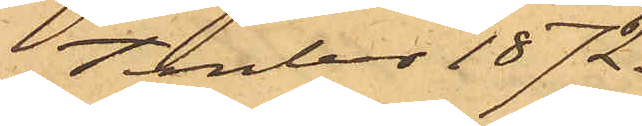tember 1872.
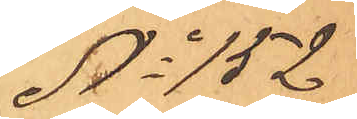No 152
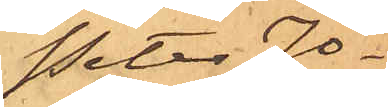Peter Jo¬
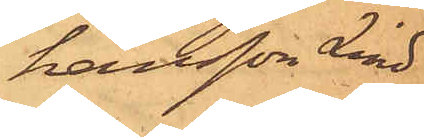hansson Lind
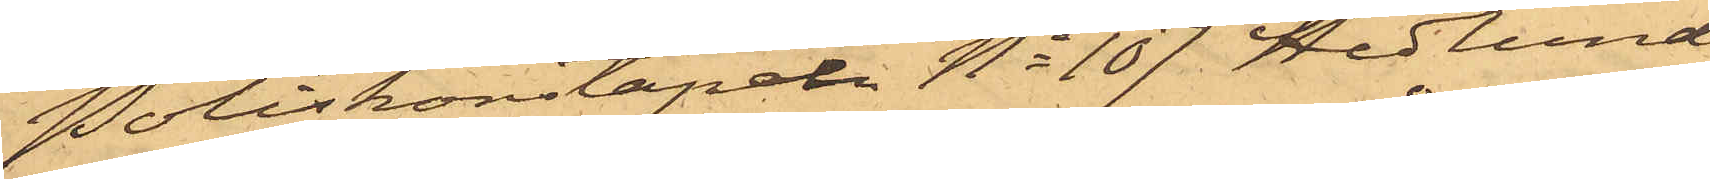Poliskonstapeln No 107 Hedlund
